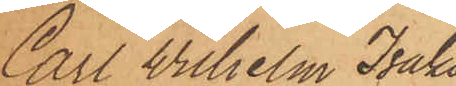Carl Wilhelm Isaks¬
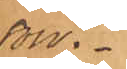son.
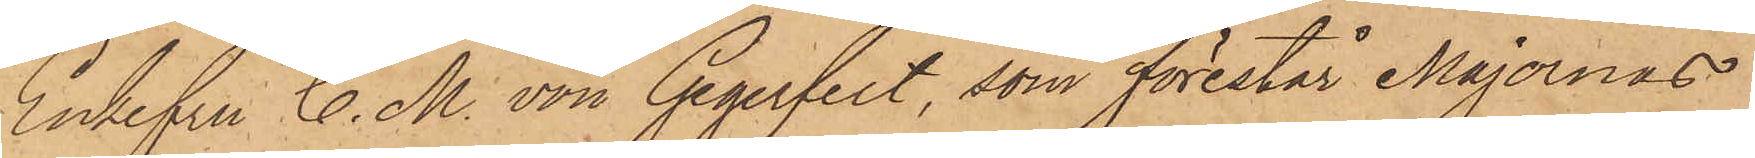Enkefru C. M. von Gegerfelt, som förestår Majornas
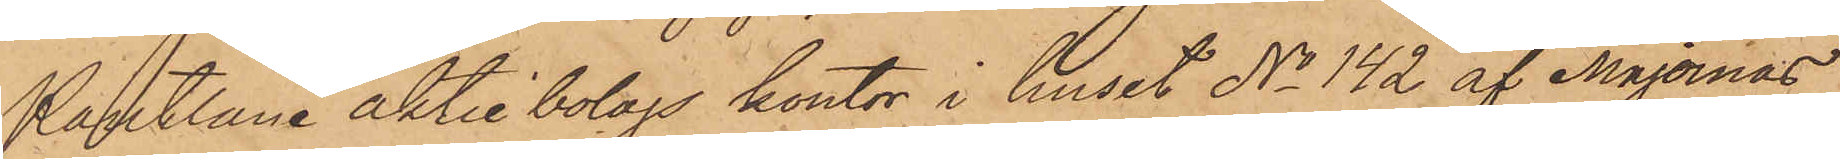Pantlåne aktiebolags kontor i huset No 142 af Majornas
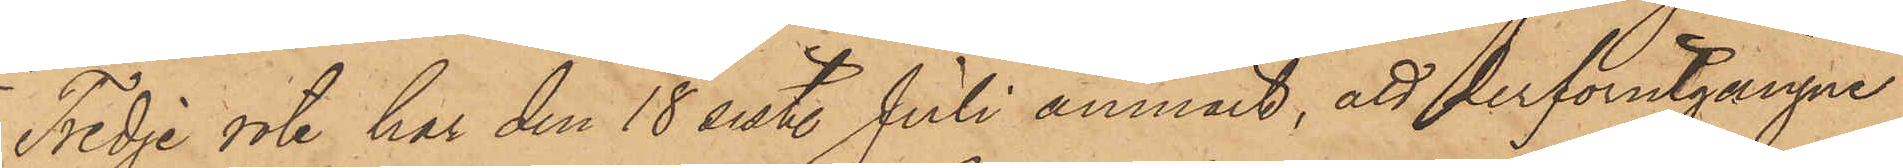Tredje rote har den 18 sist. Juli anmält, att derförutgångne
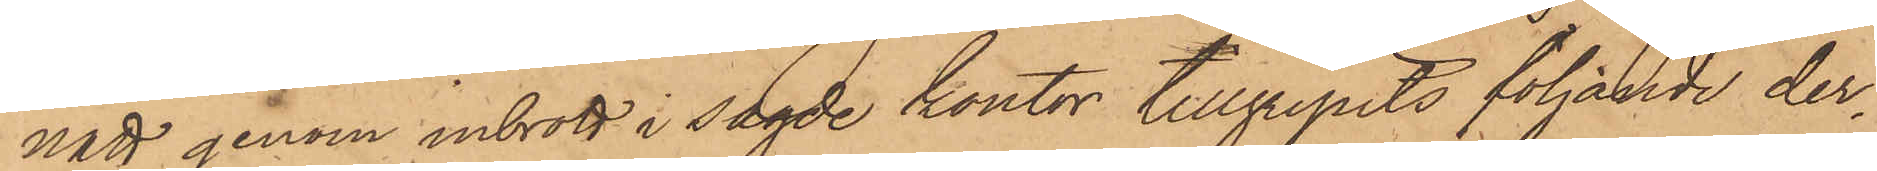natt genom inbrott i sagde kontor tillgripits följande der¬
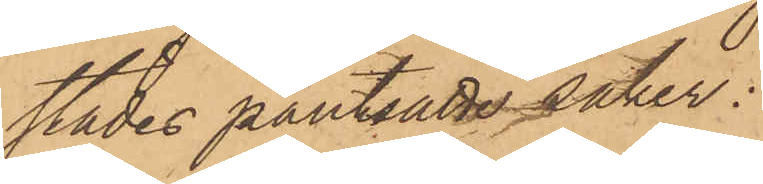städes pantsatte saker;
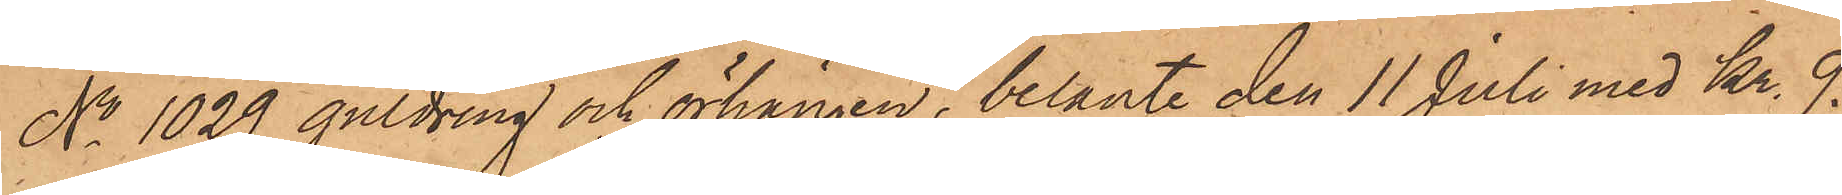No 1029 guldring och örhängen, belånte den 11 Juli med Kr. 9.
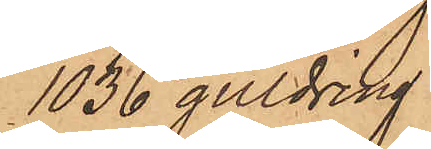1036 guldring
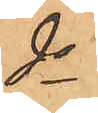do
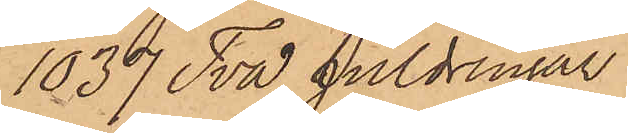1037 Två guldringar
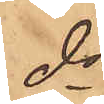do
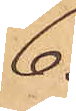6.
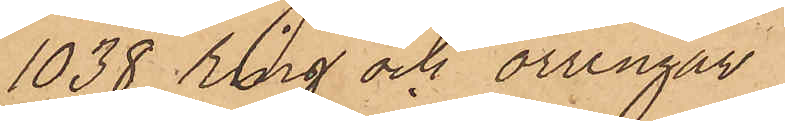1038 ring och örringar
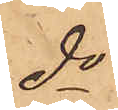do
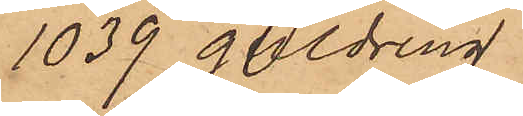1039 guldring
